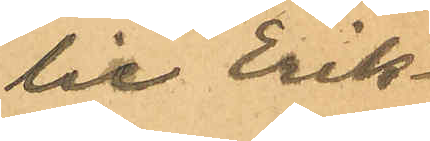lie Erik¬
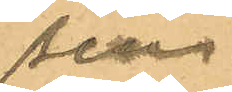sen.
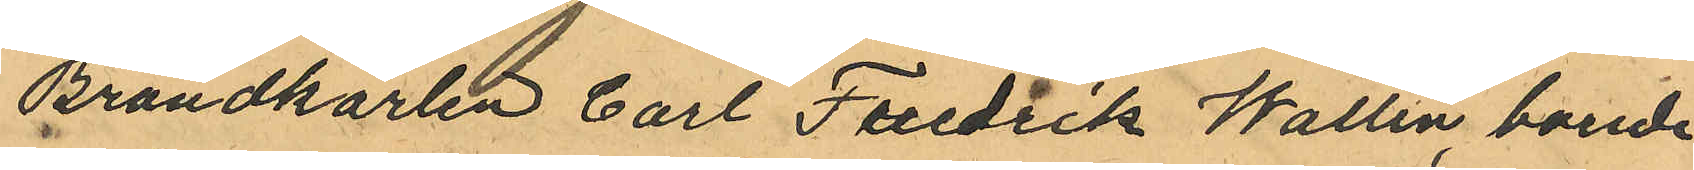Brandkarlen Carl Fredrik Wallin, boende
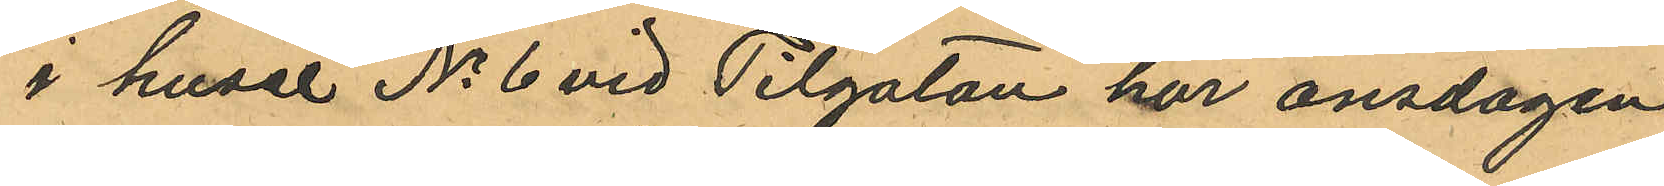i huset No 6 vid Pilgatan har onsdagen
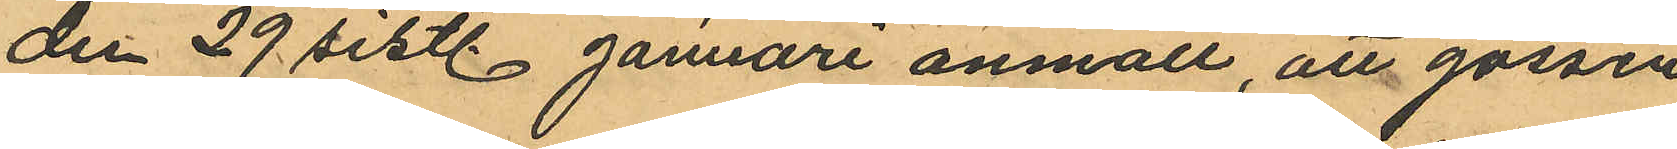den 29 sistl. Januari anmält, att gossen
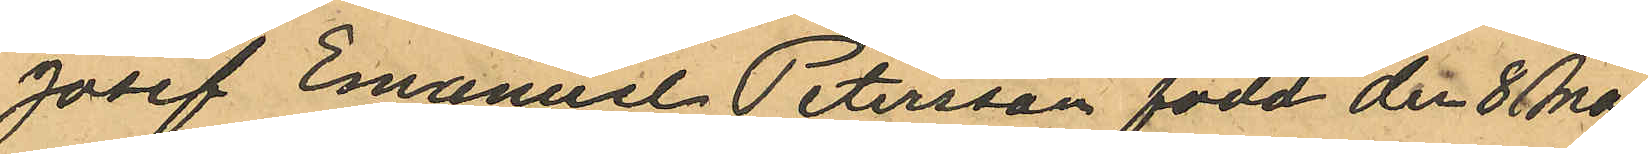Josef Emanuel Petersson född den 8 Maj
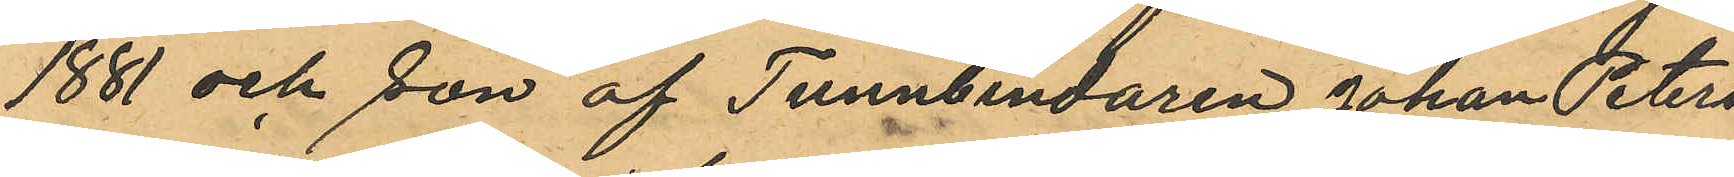1881 och son af Tunnbindaren Johan Peters
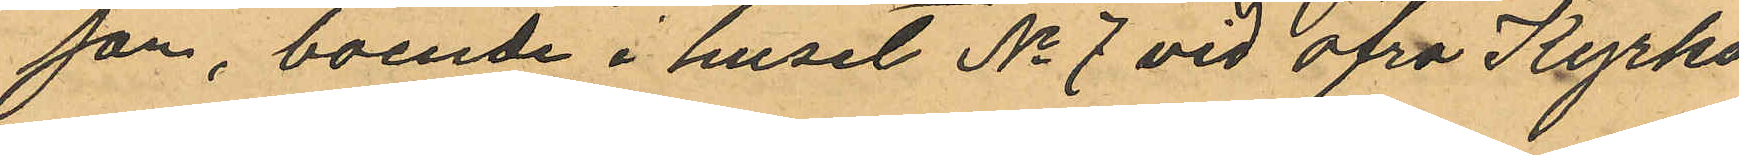son, boende i huset No 7 vid Öfra Kyrko¬
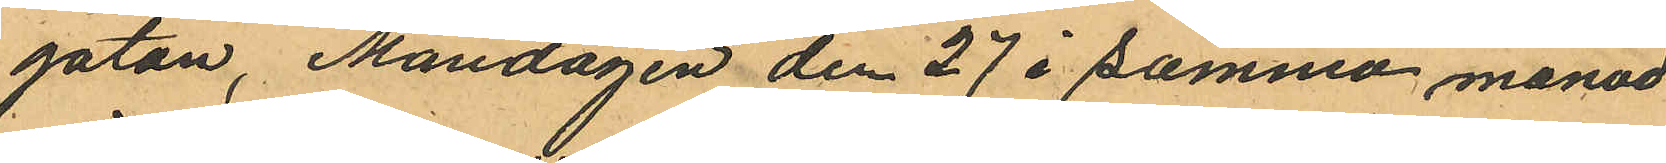gatan, Måndagen den 27 i samma månad
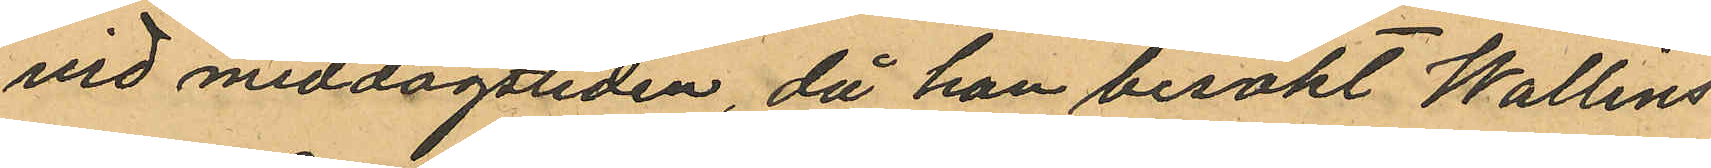vid middagstiden, då han besökt Wallins
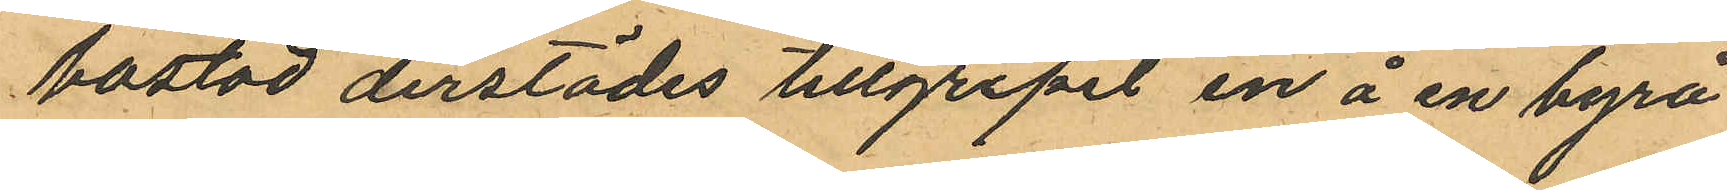bostad derstädes tillgripit en å en byrå
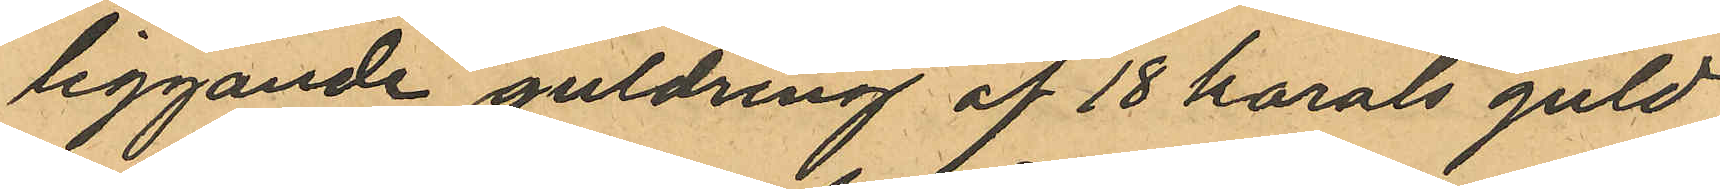liggande guldring af 18 karals guld
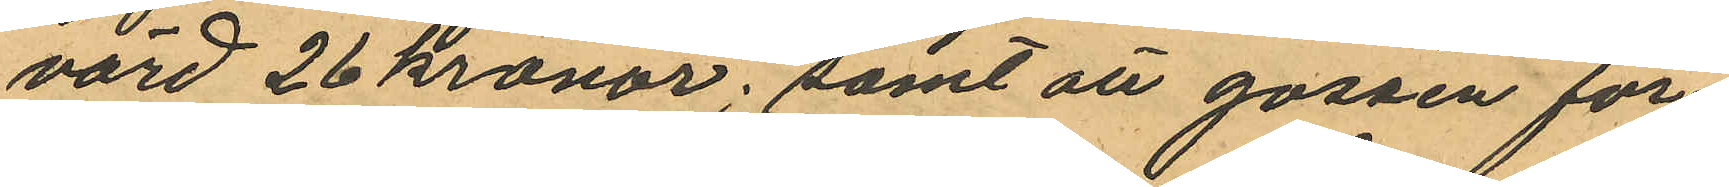värd 26 kronor; samt att gossen för¬
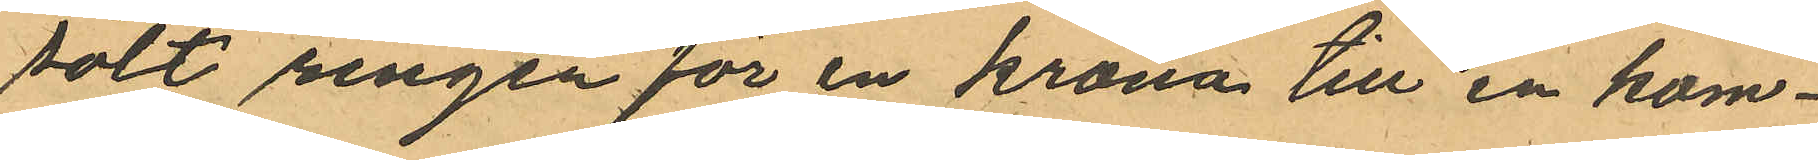sålt ringen för en krona till en kom¬
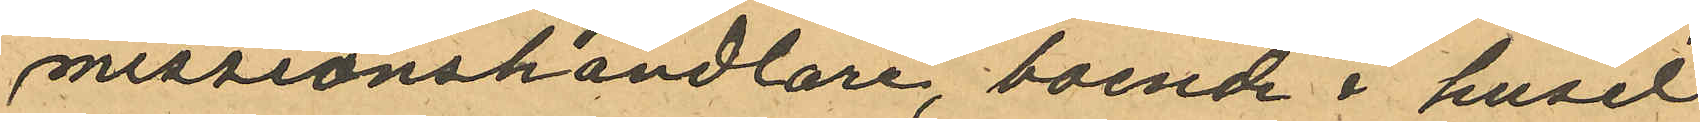missionshandlare, boende i huset
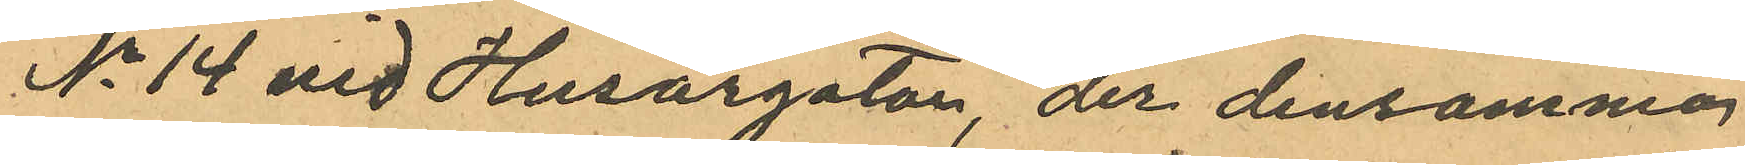No 14 vid Husargatan, der densamma
